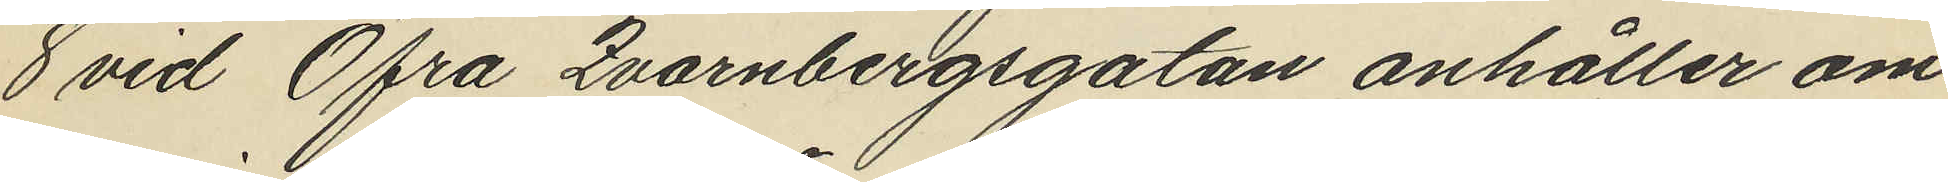8 vid Öfra Qvarnbergsgatan anhåller om
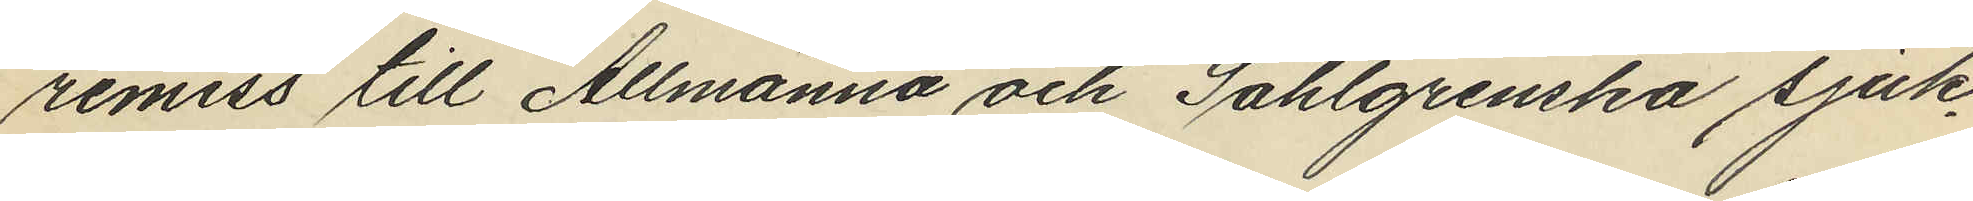remiss till Allmänna och Sahlgrenska sjuk¬
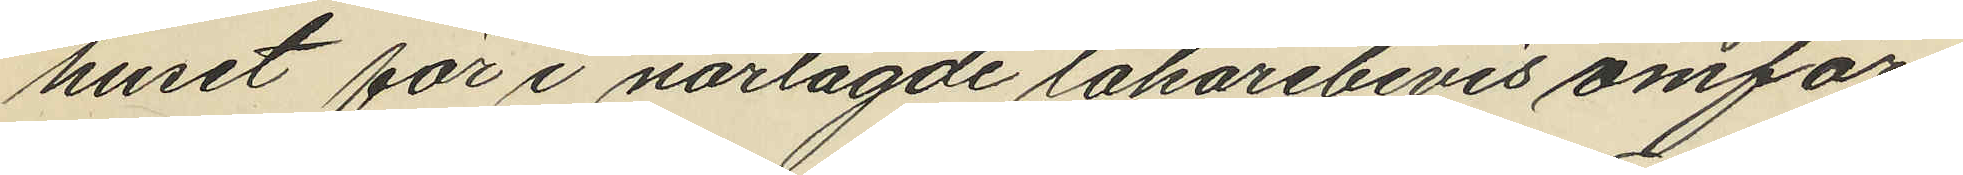huset för i närlagde läkarebevis omför¬
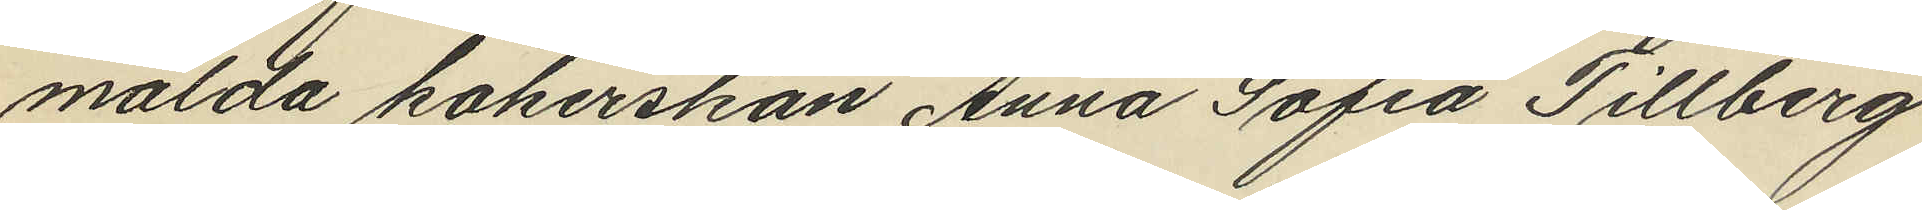mälda kokerskan Anna Sofia Tillberg
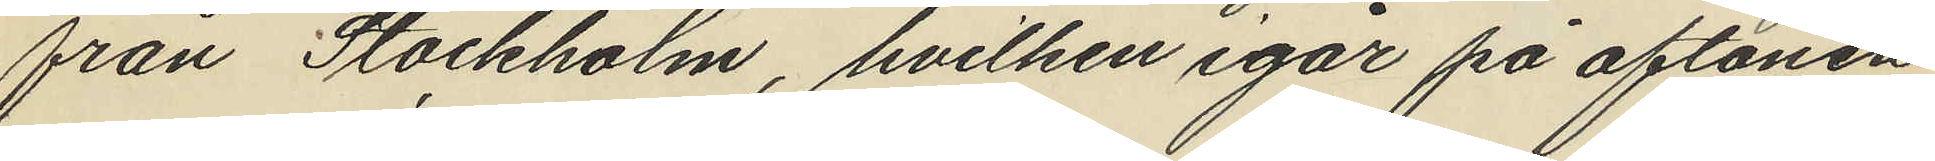från Stockholm, hvilken igår på aftonen
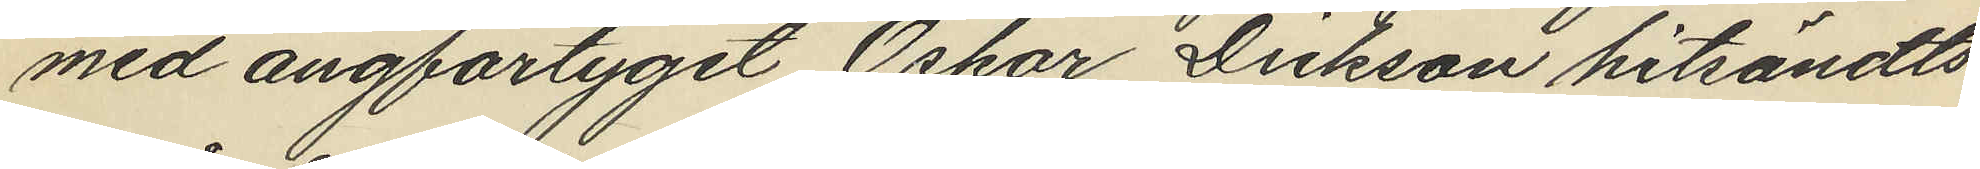med ångfartyget Oskar Dickson hitsändts
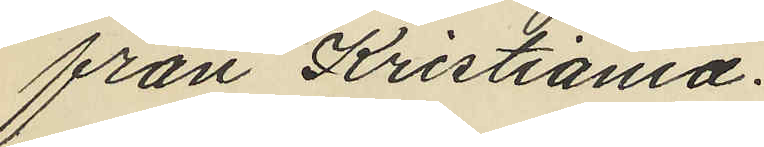från Kristiania.
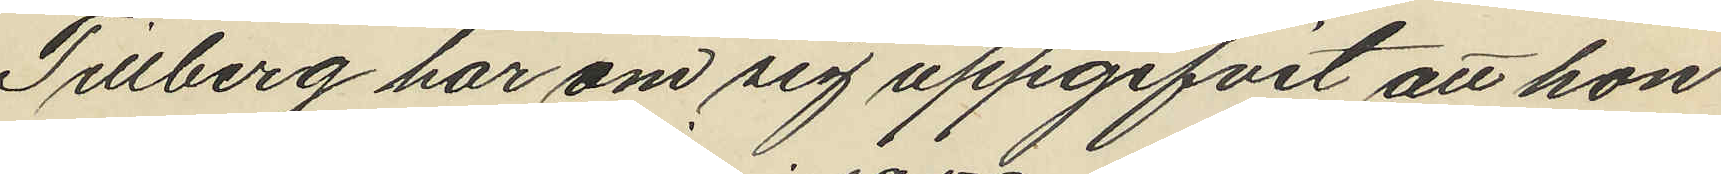Tillberg har om sig uppgifvit att hon
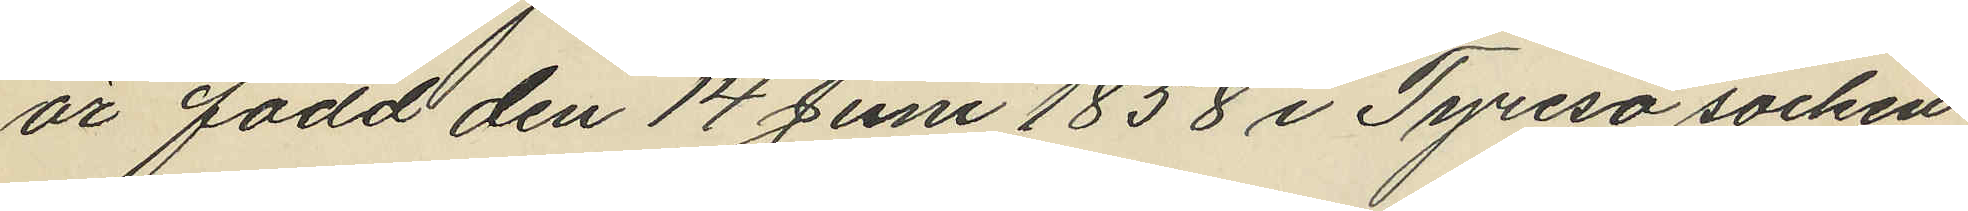är född den 14 Juni 1858 i Tyresö socken
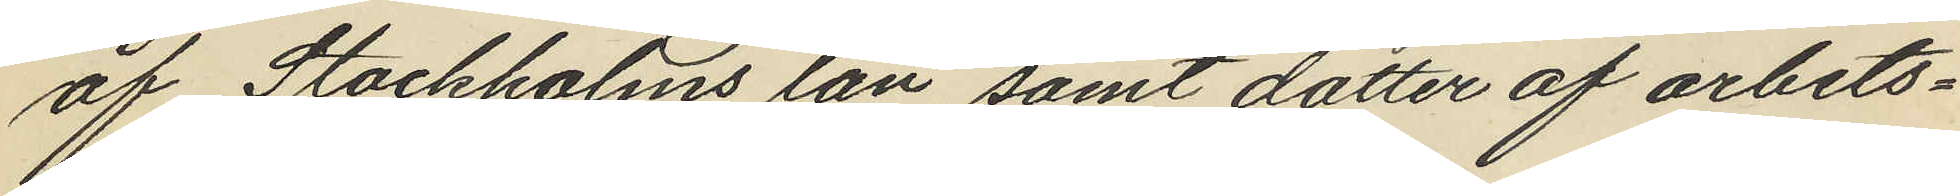af Stockholms län, samt dotter af arbets¬
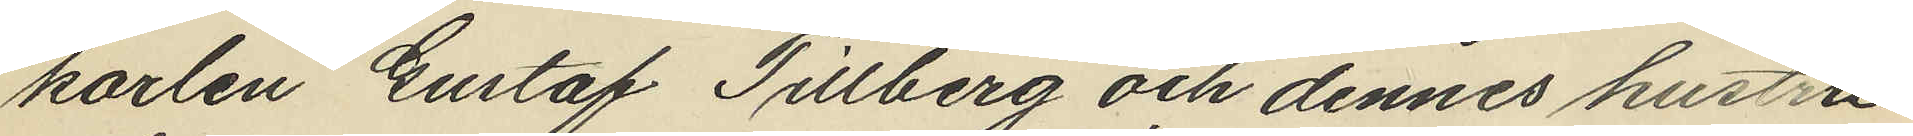karlen Gustaf Tillberg och dennes hustru
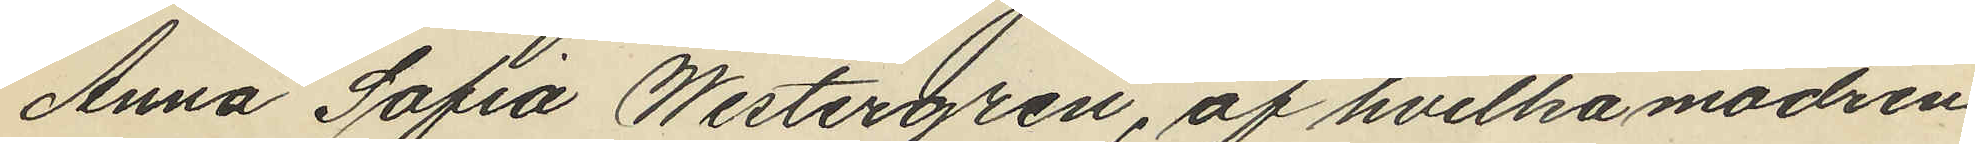Anna Sofia Westergren, af hvilka modren
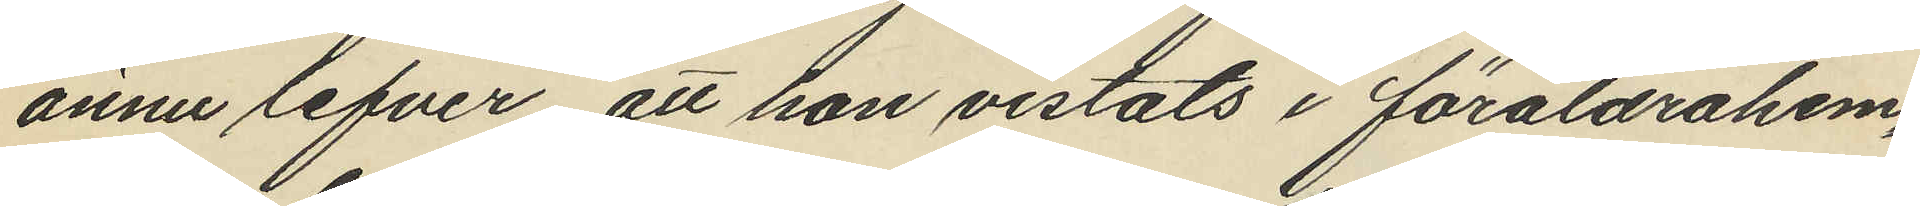ännu lefver, att hon vistats i föräldrahem¬
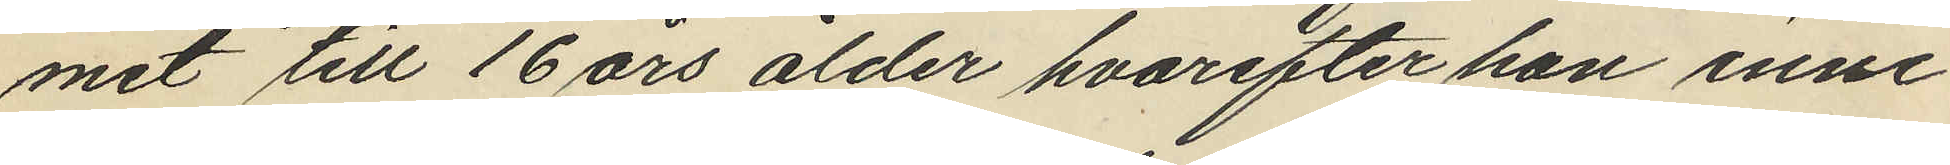mit till 16 års ålder hvarefter hon inne¬
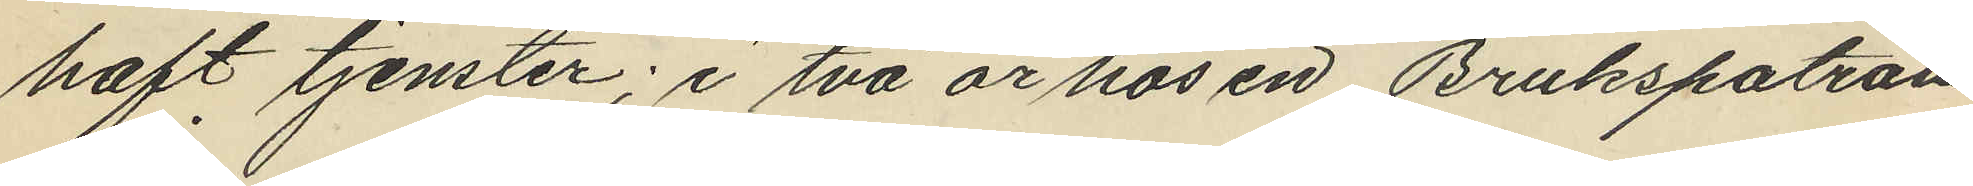haft tjenster; i två år hos en Brukspatron
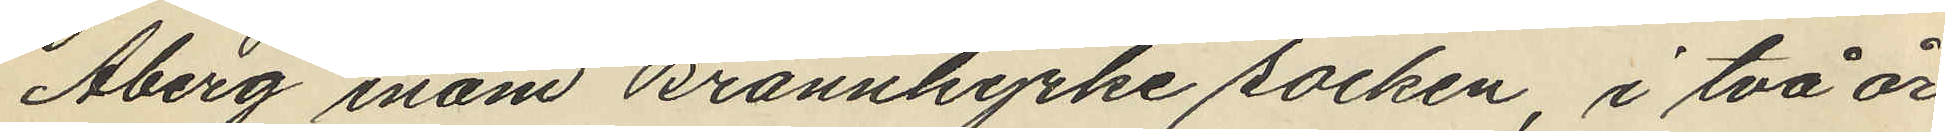Åberg inom Brännkyrke socken, i två år
